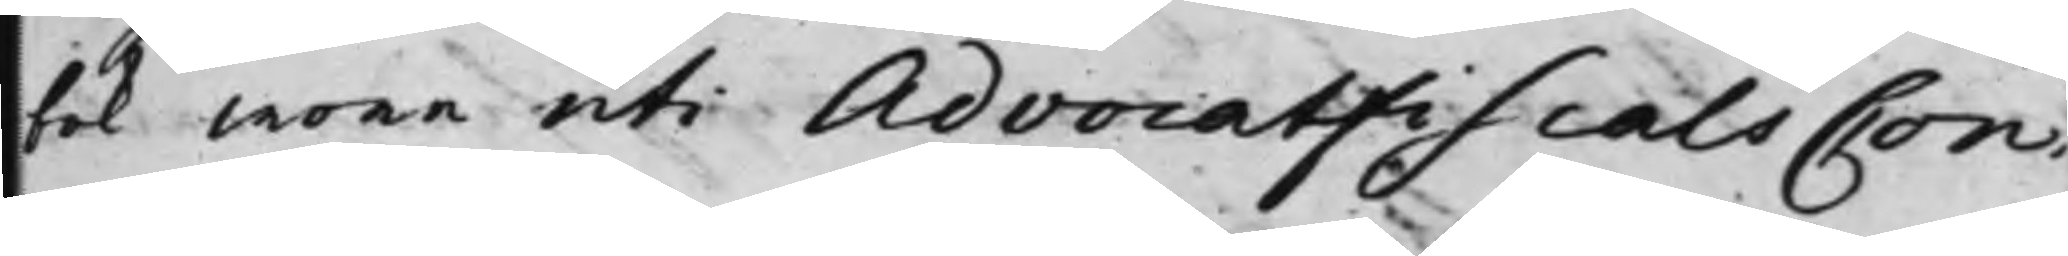bok wore uti AdvocatfiscalsCon¬
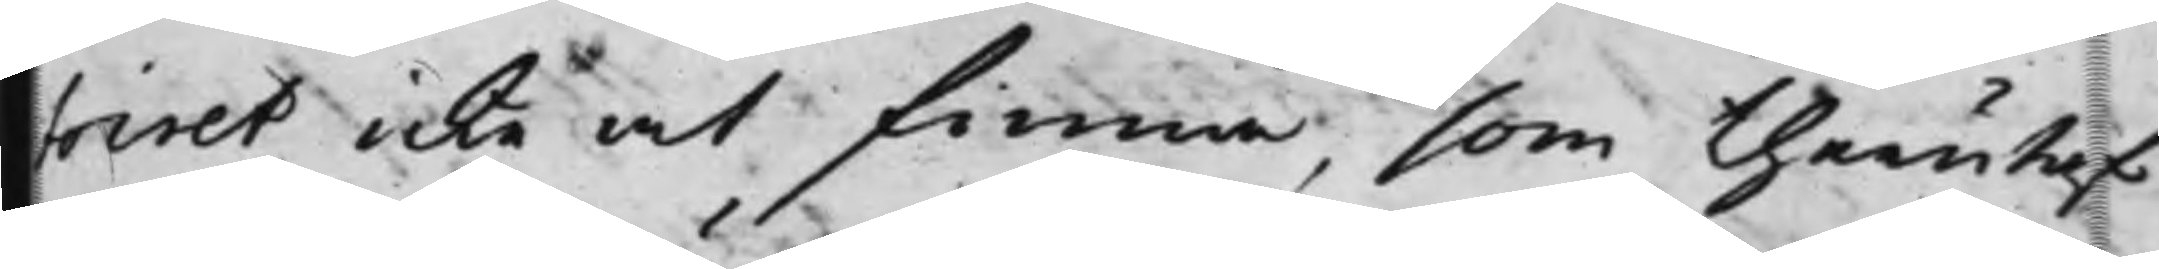toiret icke at finna, som therutaf
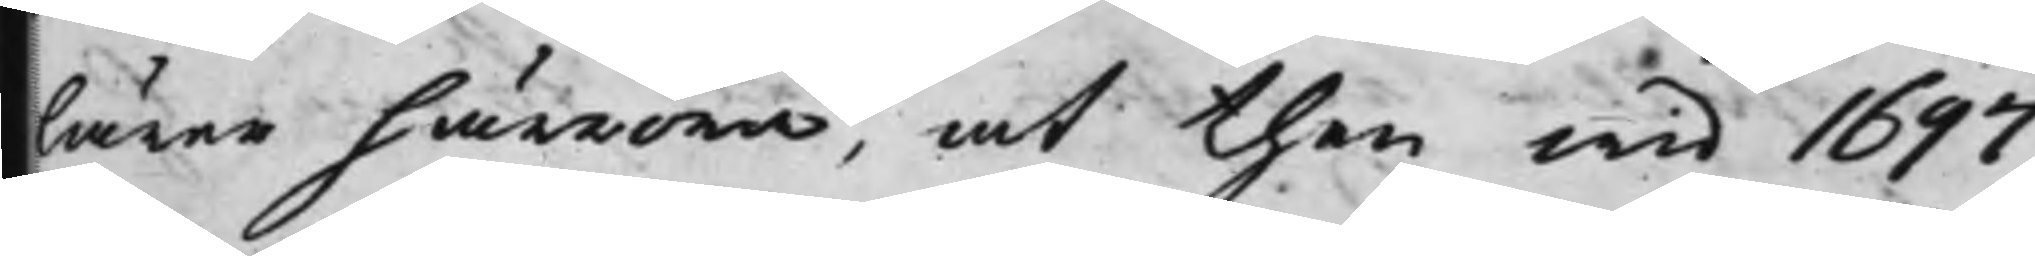lärer härröra, at then wid 1697
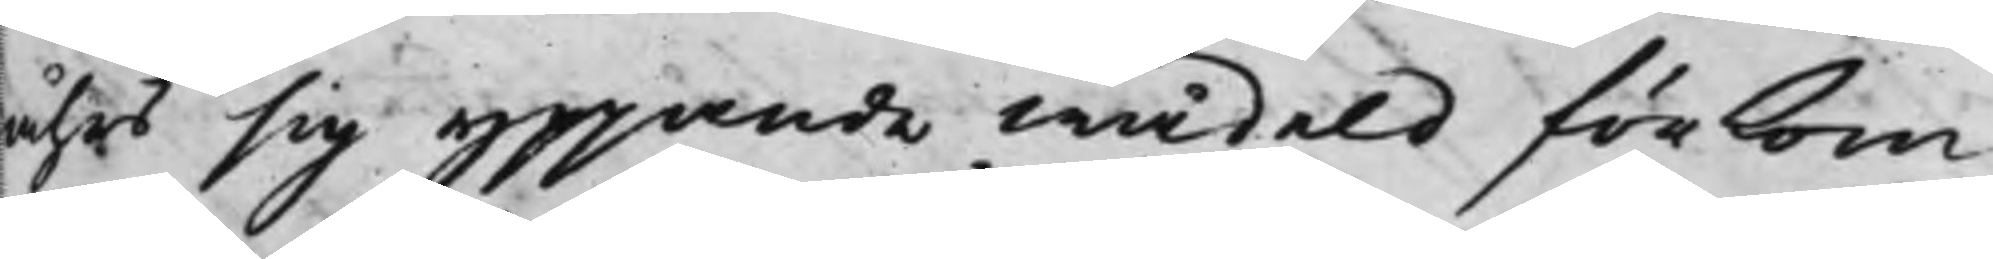åhrs sig yppande wädeld förkom¬
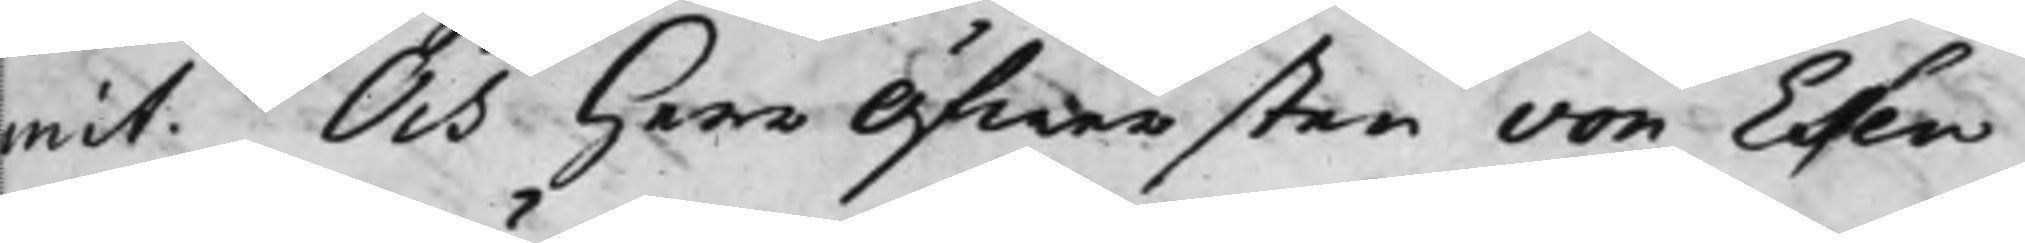mit. Och Herr Öfwersten von Essen
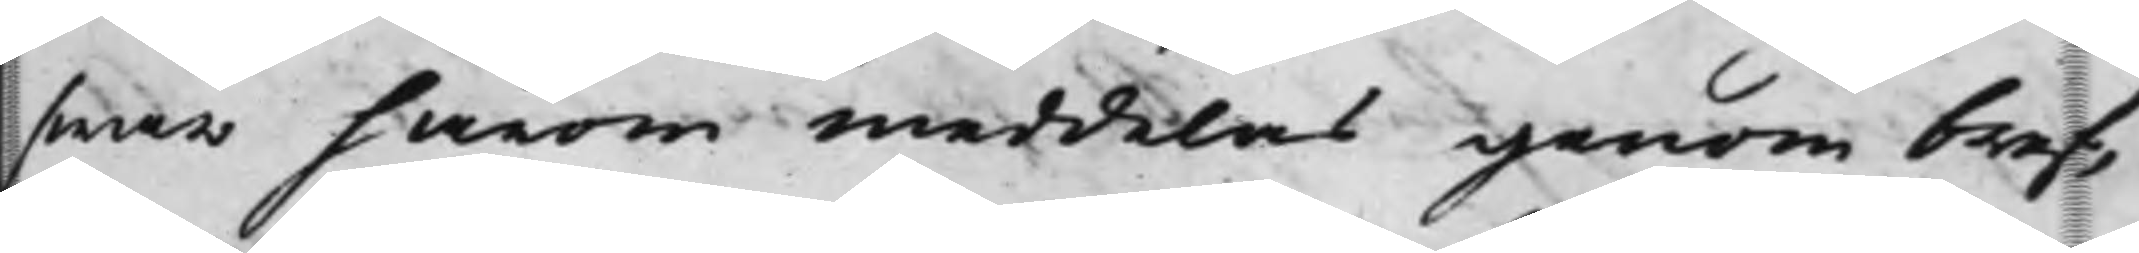swar härom meddelas genom bref,
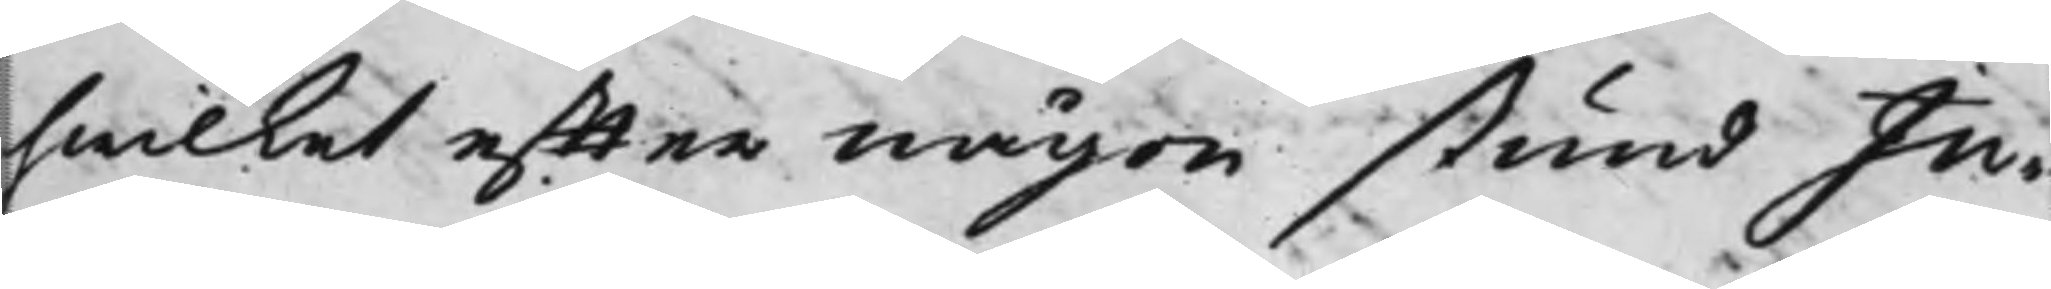hwilket effter någon stund Ju¬
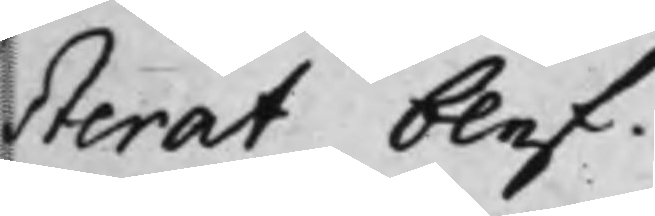sterat blef.
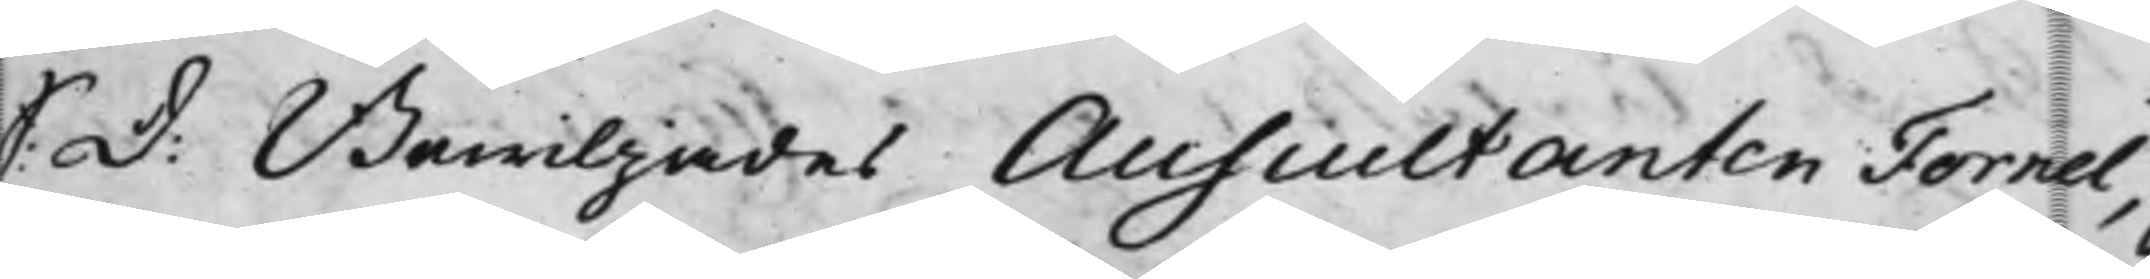S: D: Bewiljades Auscultanten Fornel,
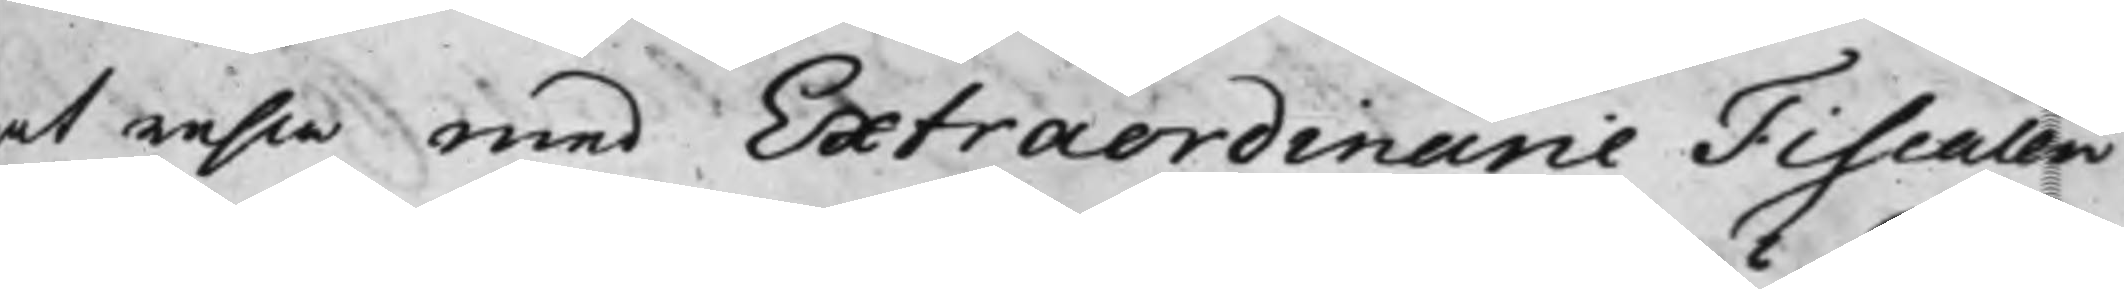at resa med Extraordinarie Fiscalen
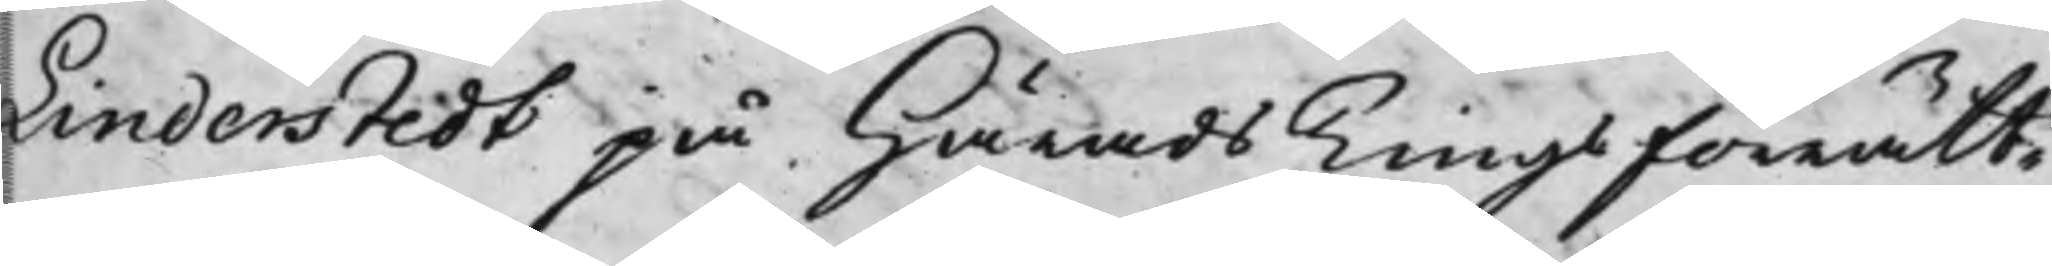Linderstedt på HäradsTingsförrätt¬
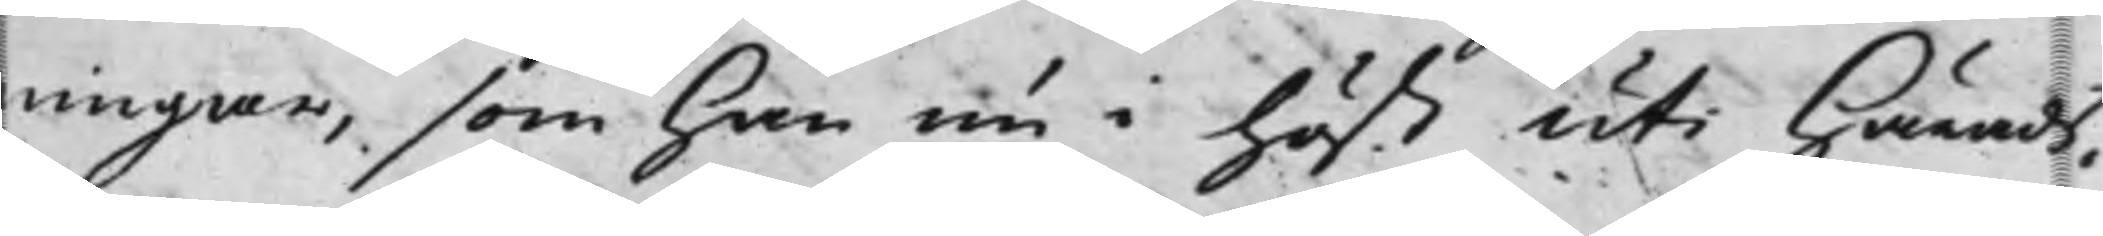ningar, som han nu i höst uti Härads¬
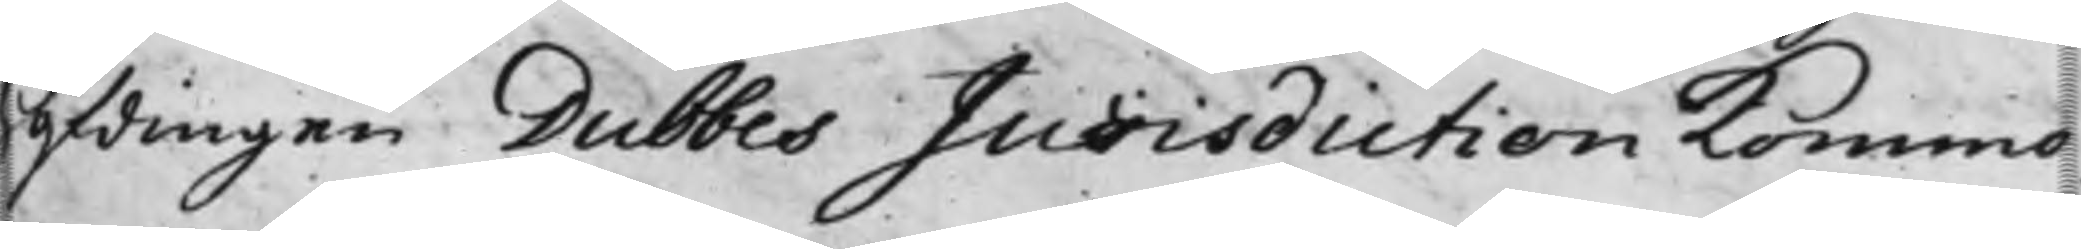Höfdingen Dubbes Jurisdiction kommo
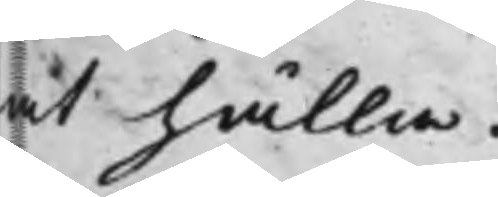at hålla.
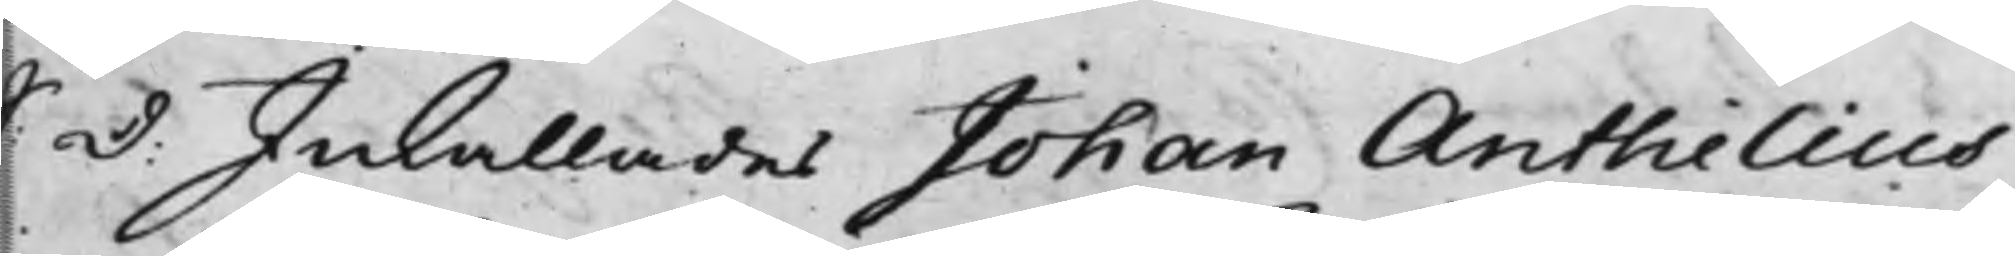S: D: Inkallades Johan Anthelius
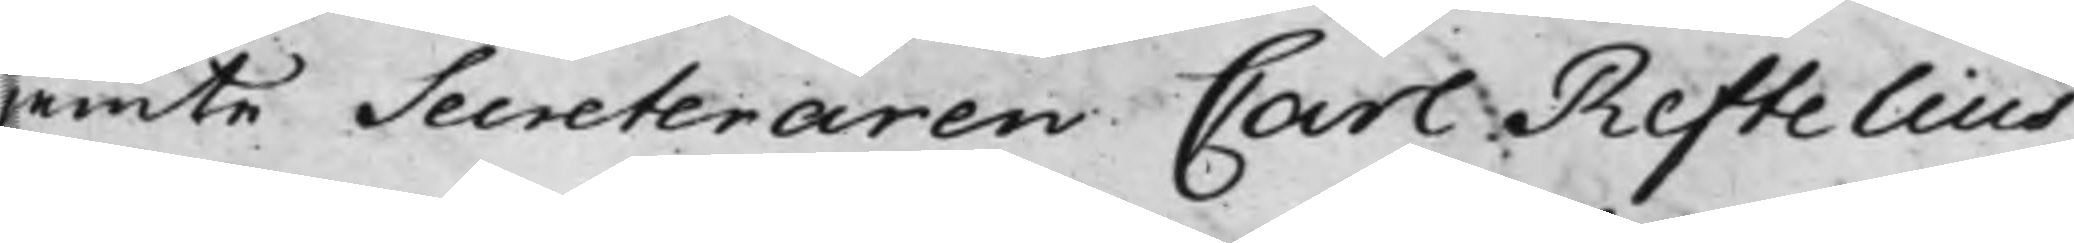jemte Secreteraren Carl Reftelius
